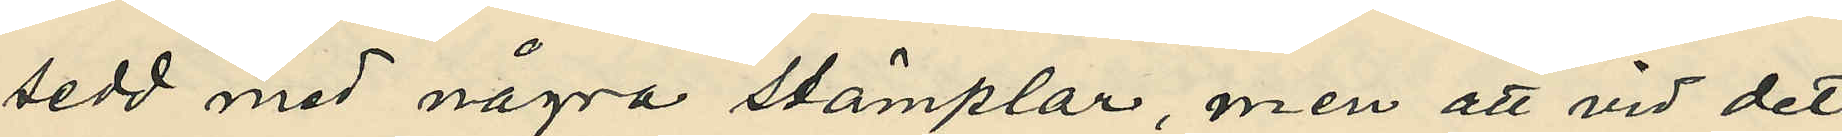sedd med några stämplar, men att vid det
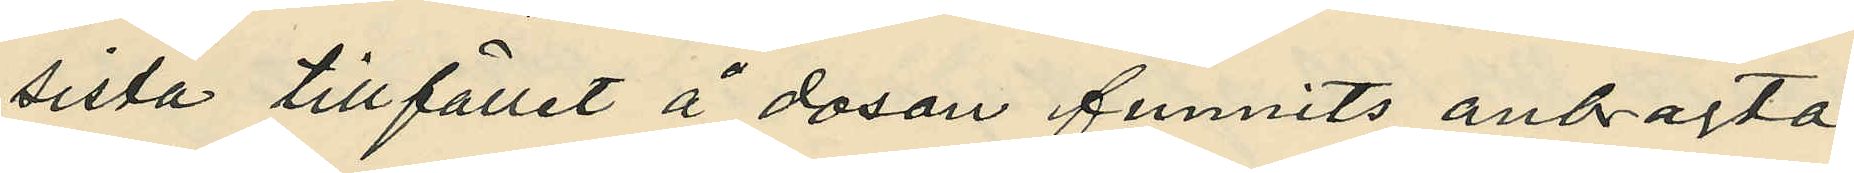sista tillfället å dosan funnits anbragta
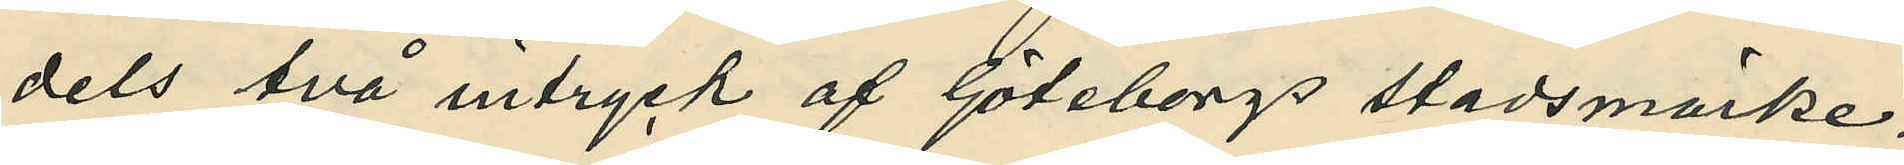dels två intryck af Göteborgs stadsmärke¬
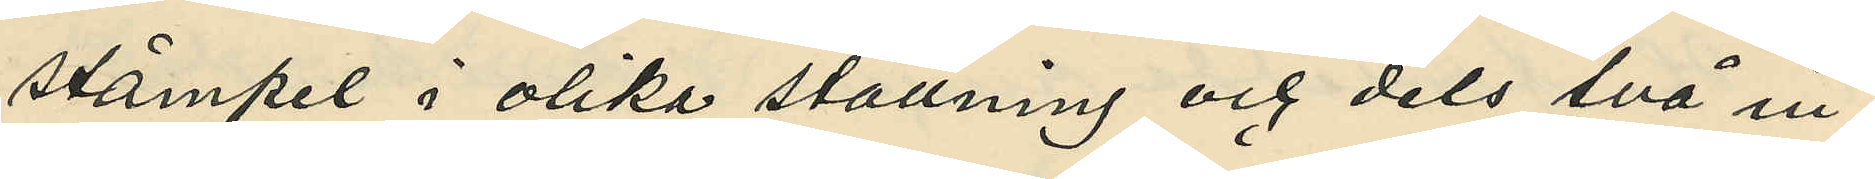stämpel i olika ställning och dels två in¬
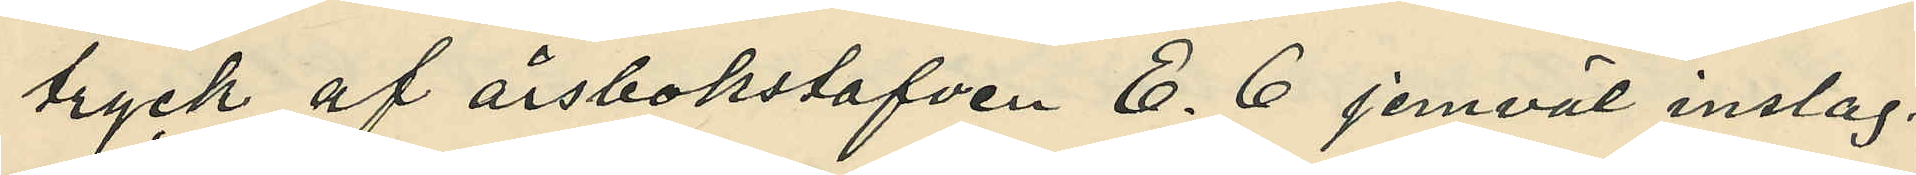tryck af årsbokstafven E. 6 jemväl inslag¬
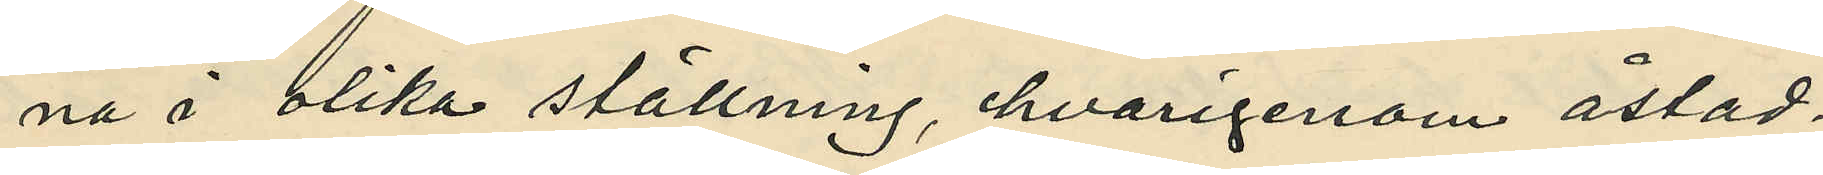na å olika ställning, hvarigenom åstad¬
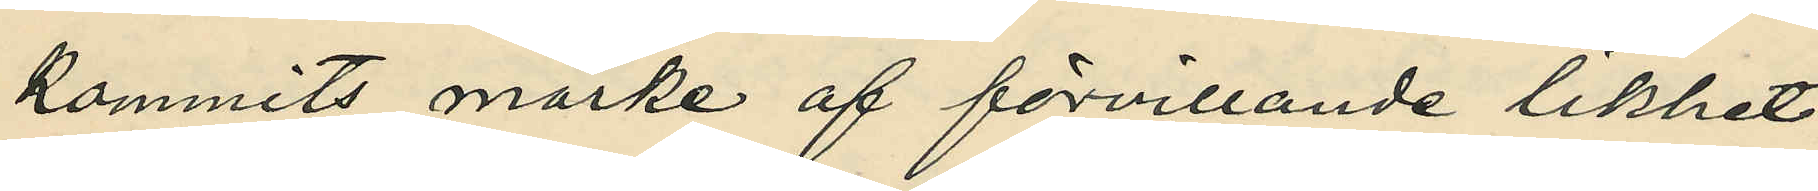kommits märke af förvillande likhet
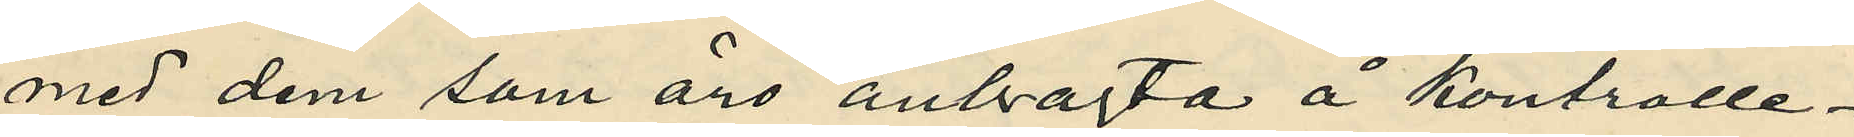med dem som äro anbragta å kontrolle¬
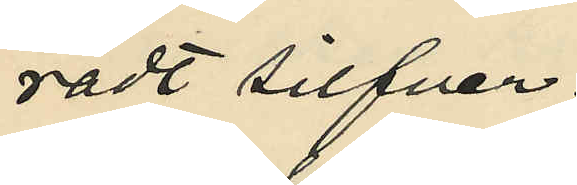radt silfver;
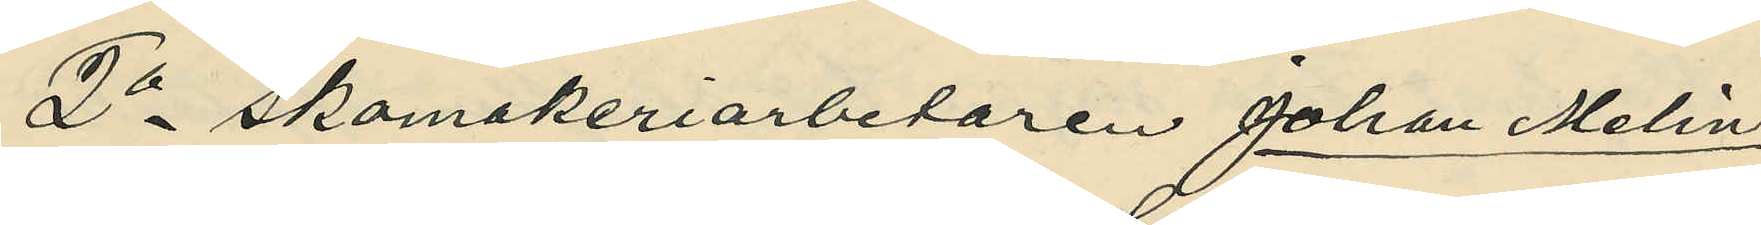2o Skomakeriarbetaren Johan Melin
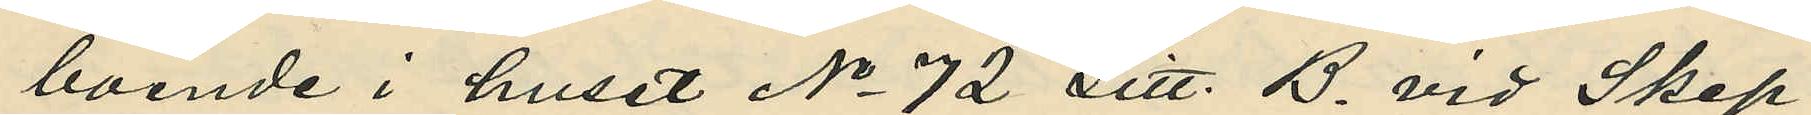boende i huset No 72 Litt. B. vid Skep¬
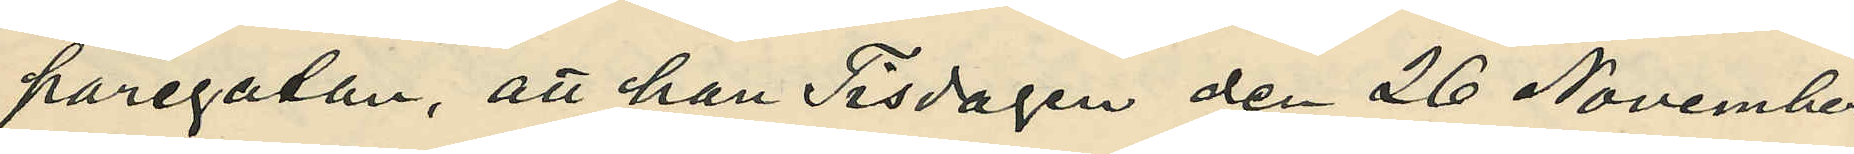paregatan, att han Tisdagen den 26 November
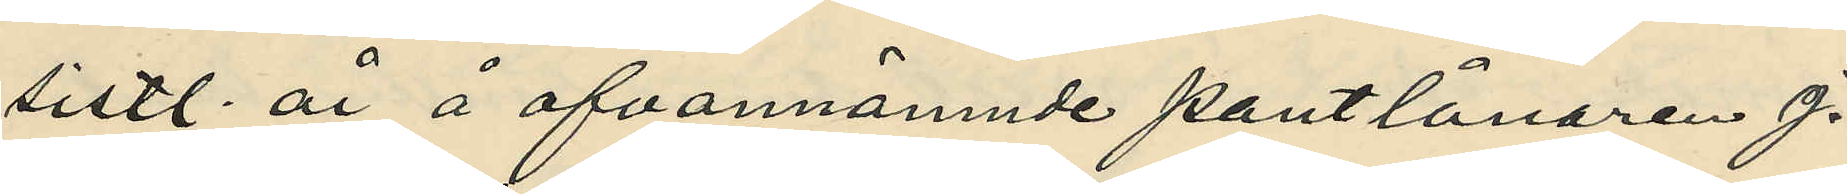sistl. år å ofvannämnde pantlånaren J.
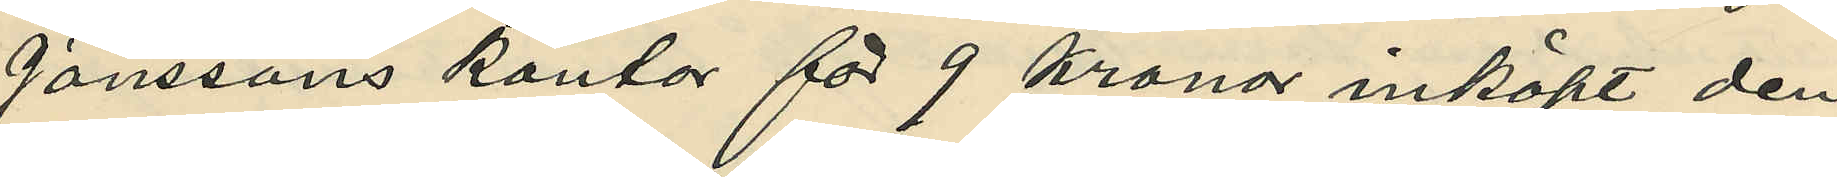Janssons kontor för 9 kronor inköpt den
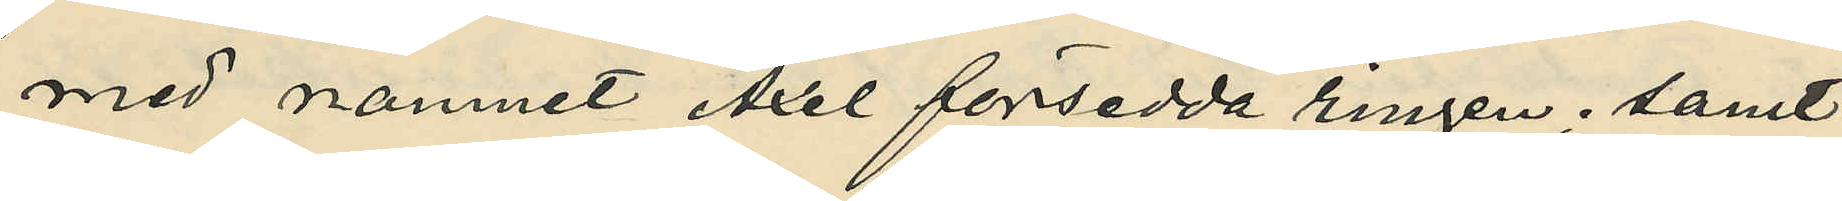med namnet Axel försedda ringen; samt
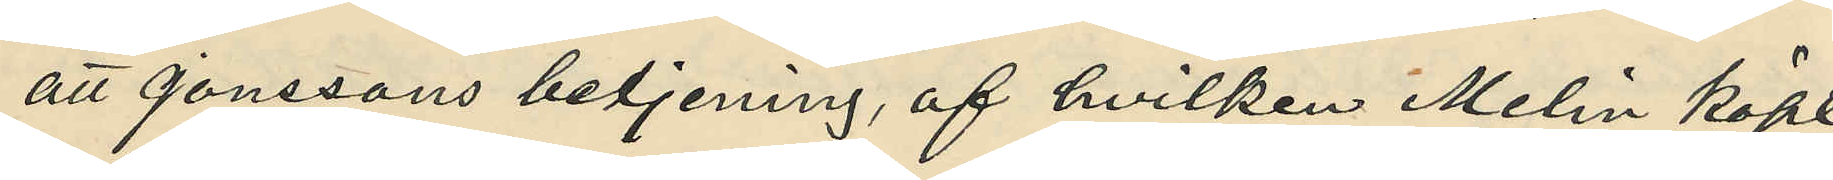att Jonssons betjening, af hvilken Melin köpt
